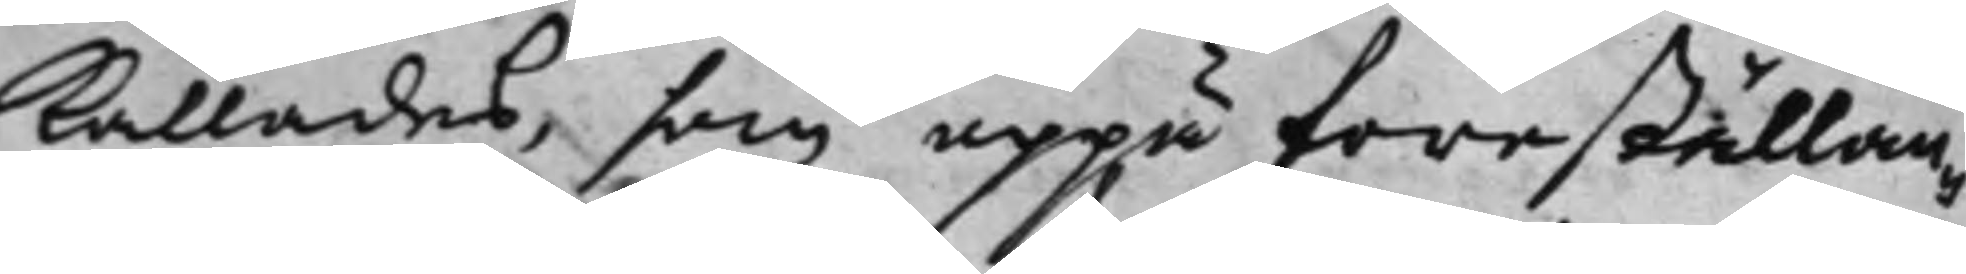kallades, som uppå föreställan¬
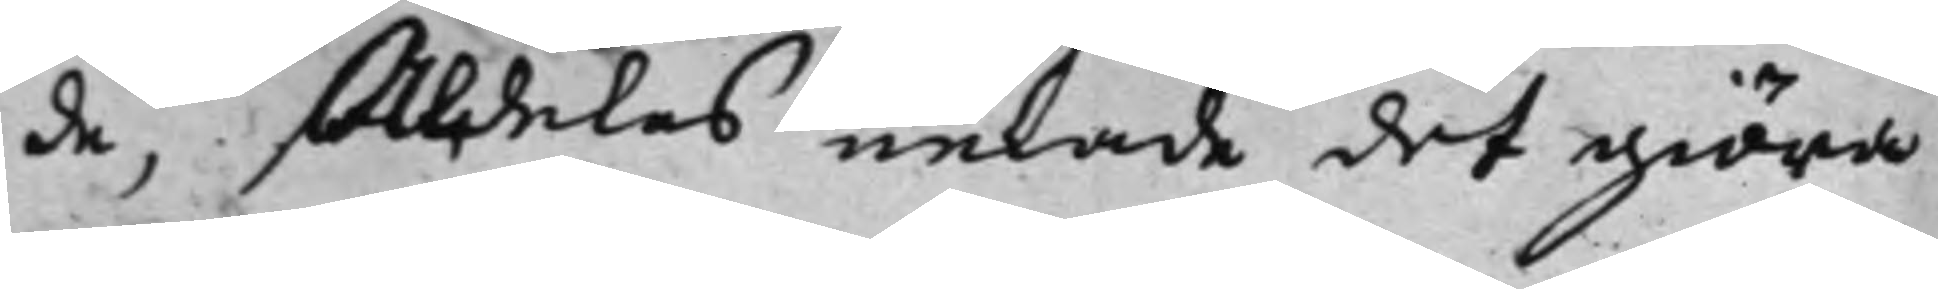de, Aldeles nekade det giöra
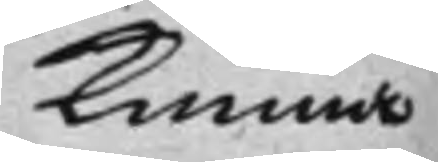kunna
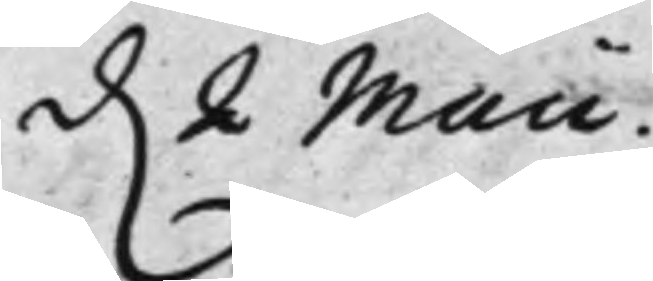d. 2 Maii.
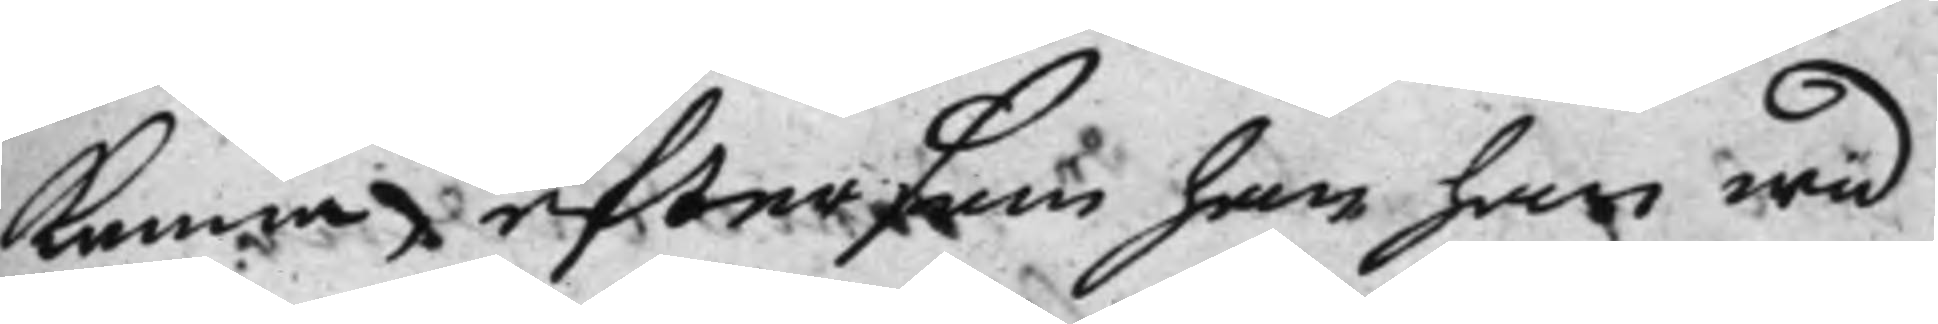kunna eftersom han har wid
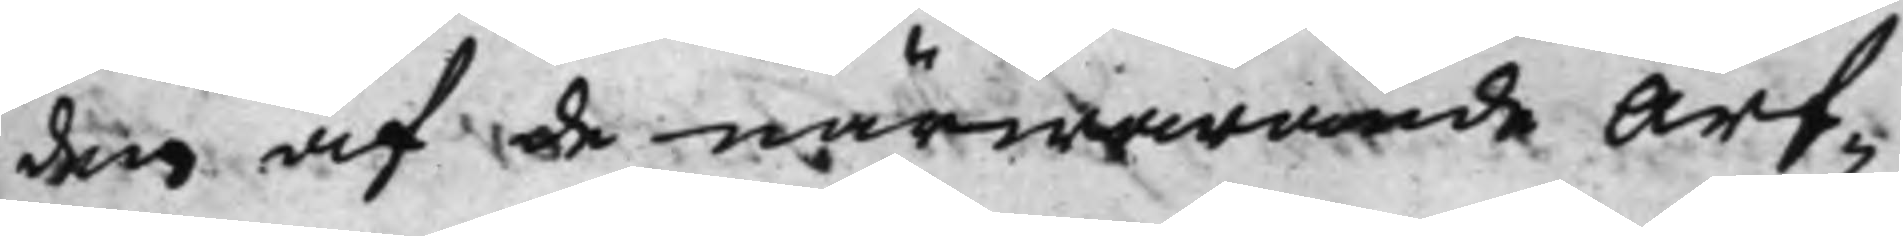den af de närwarande Arf¬
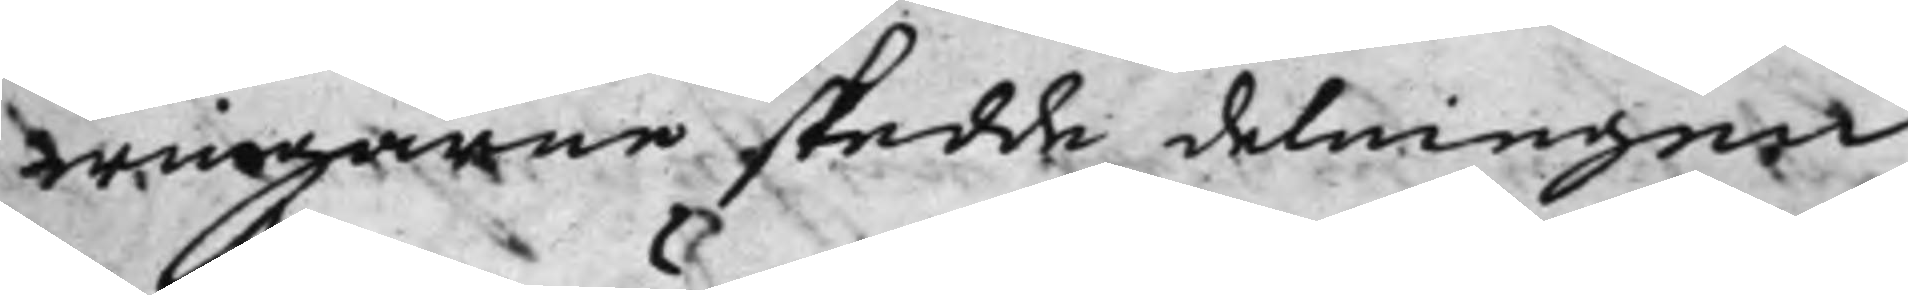wingarne skedde delningen
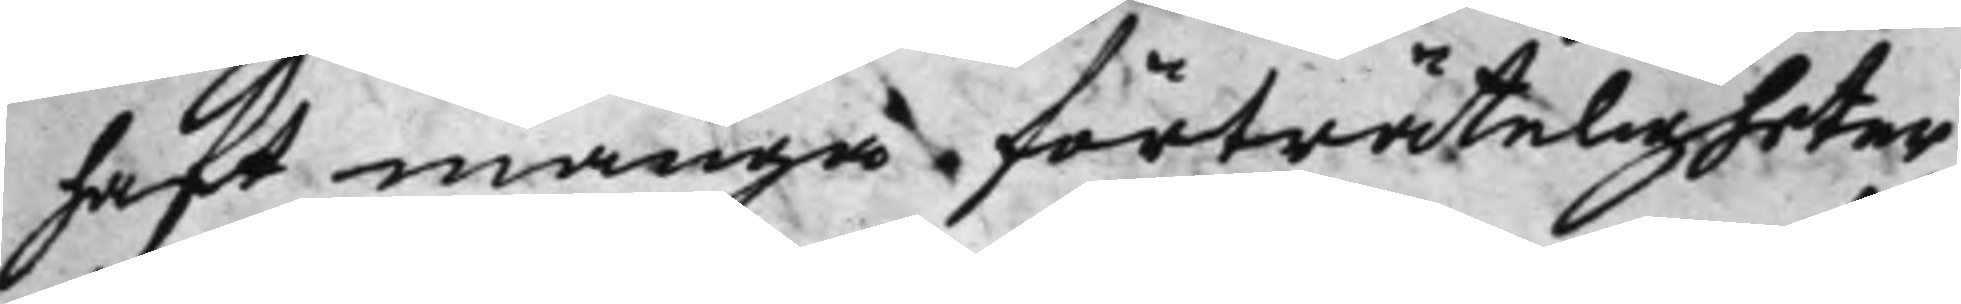haft många förträteligheter
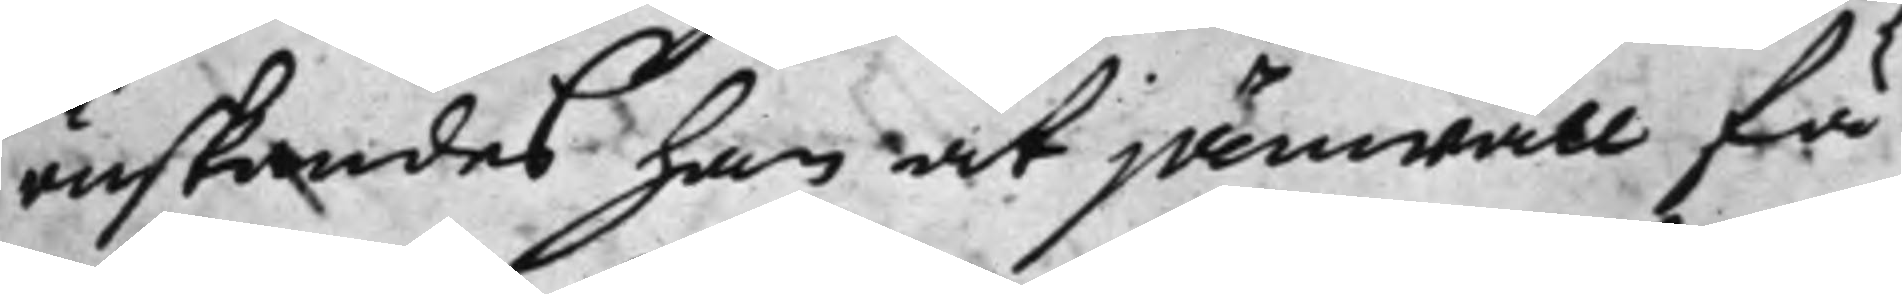önskandes han at jämwäll få
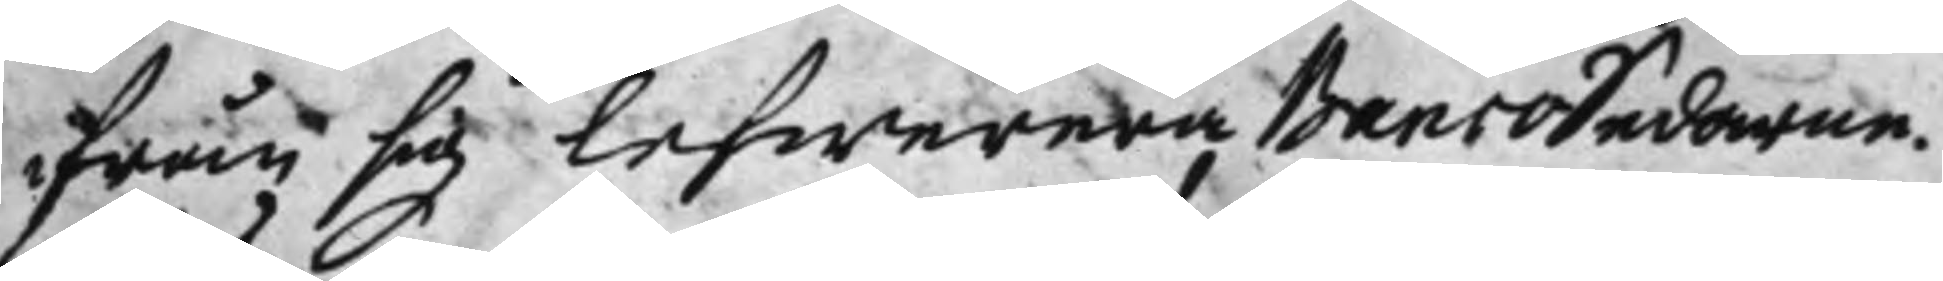ifrån sig lefwerera BancoSedarne.
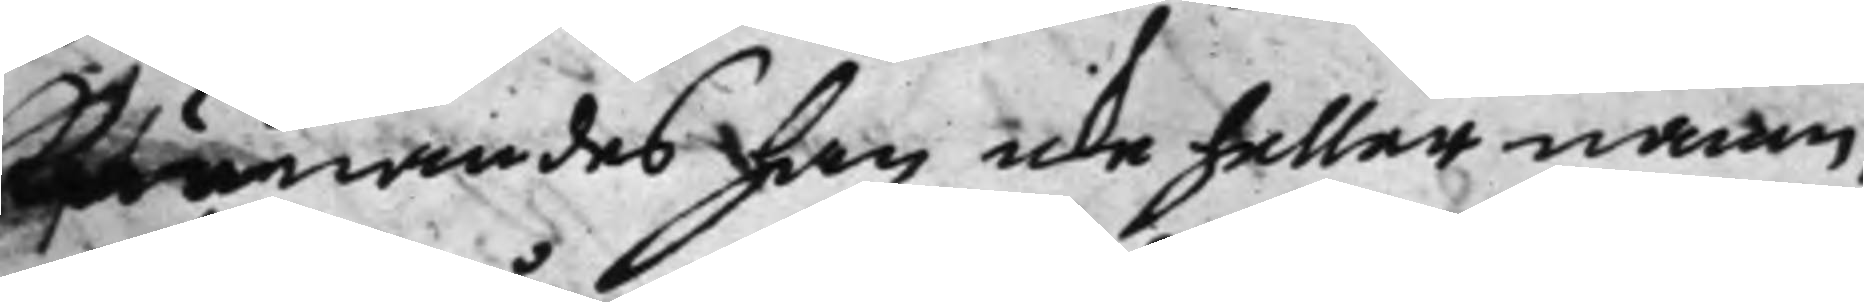Kunnandes han icke heller namn¬
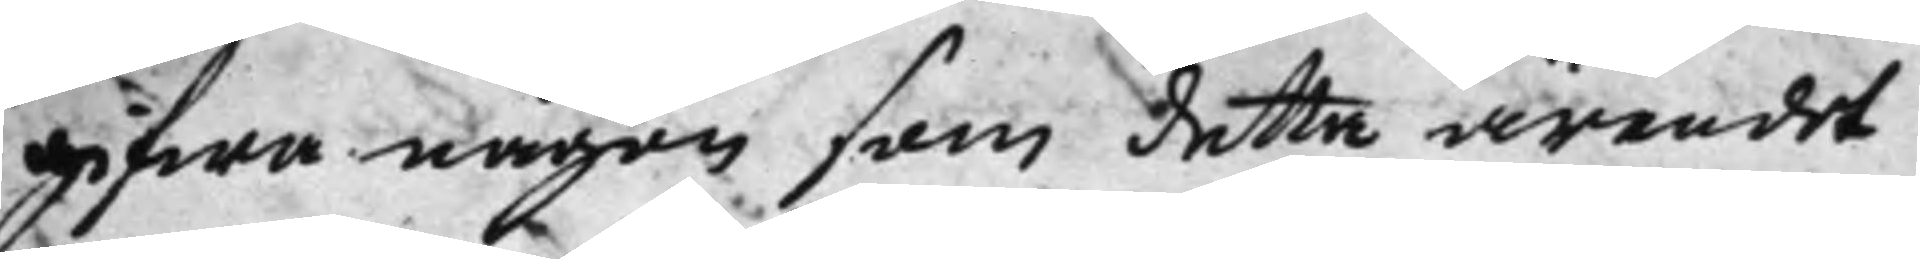gifwa någon som detta ärendet
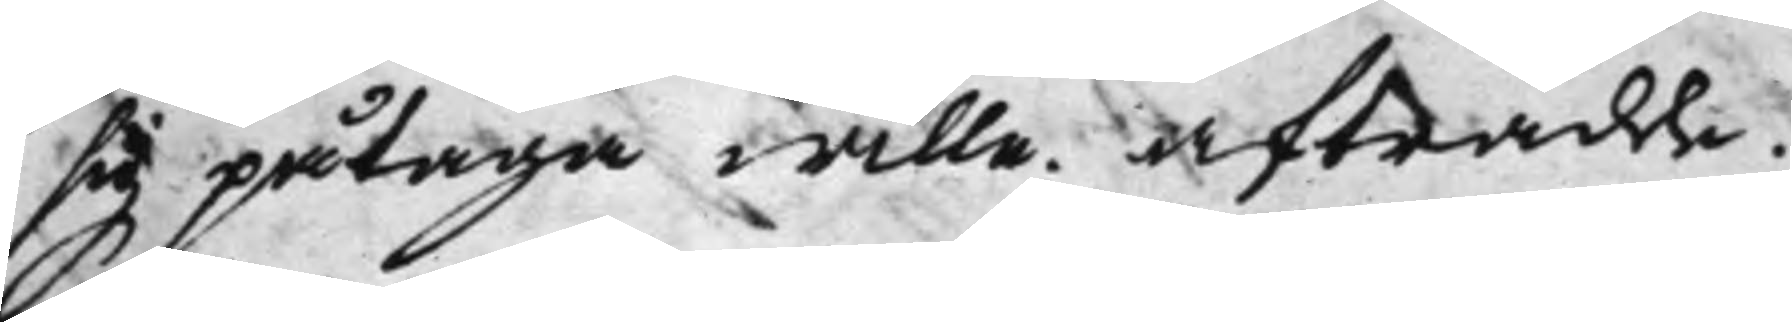sig påtaga wille. Afträdde.
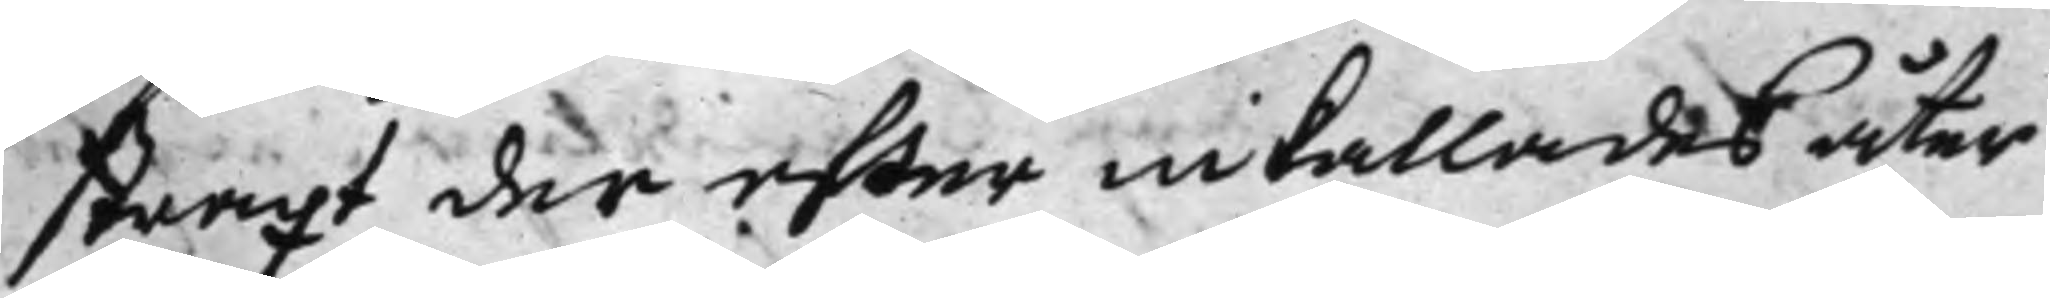Straxt der efter inkallades åter
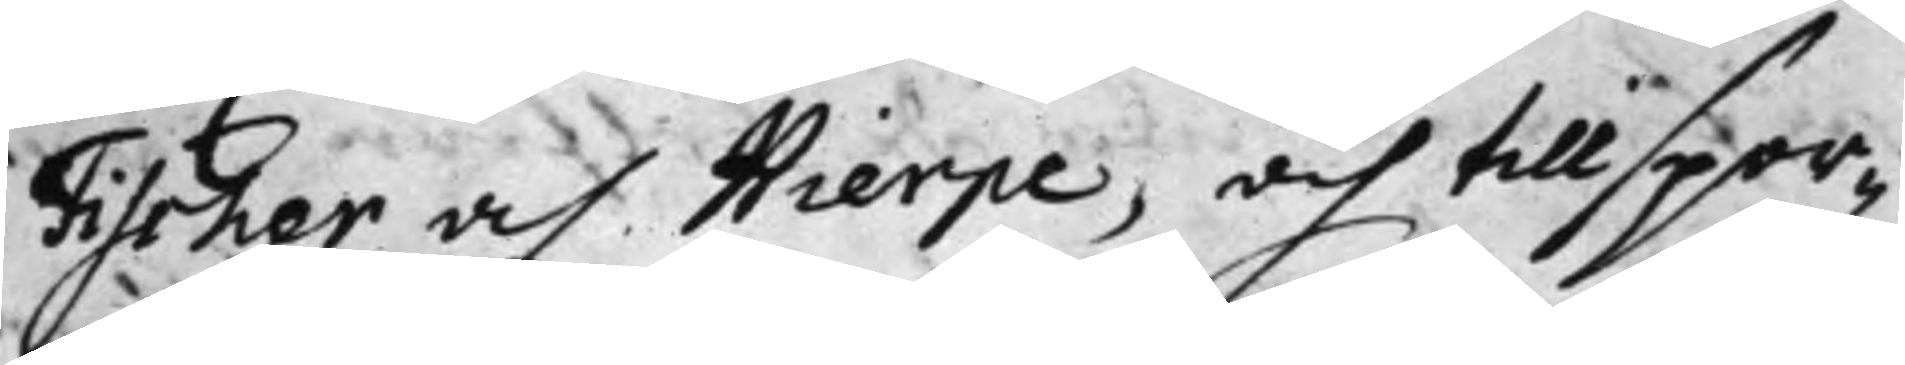Fischer och Hierpe, och tillspor¬
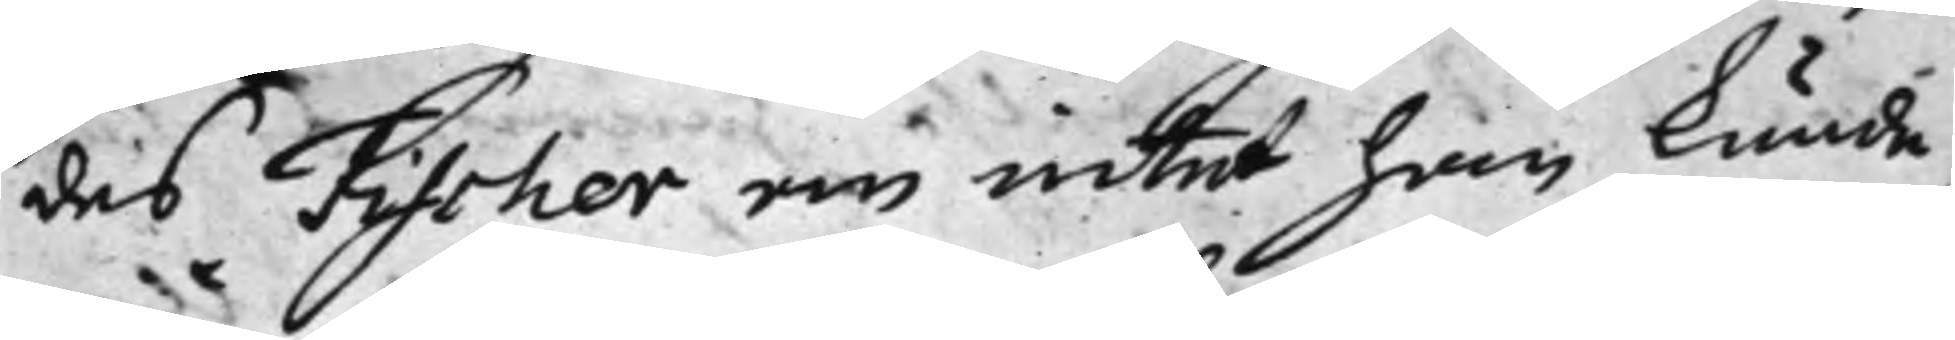des Fischer om intet han kunde
